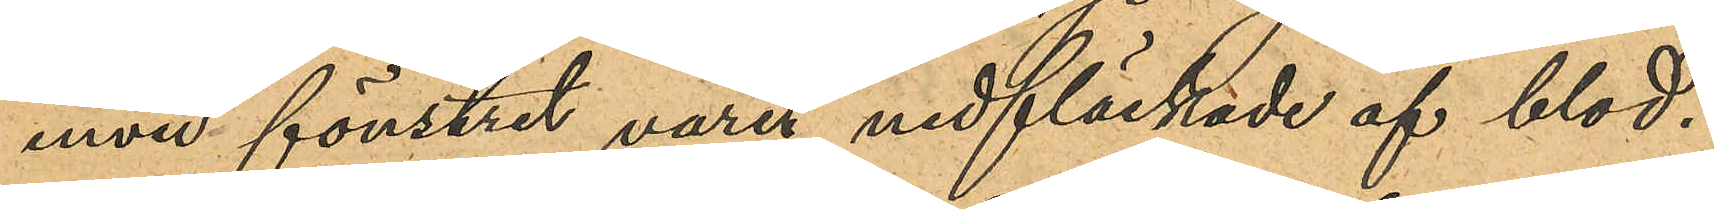invid fönstret varit nedfläckade af blod.
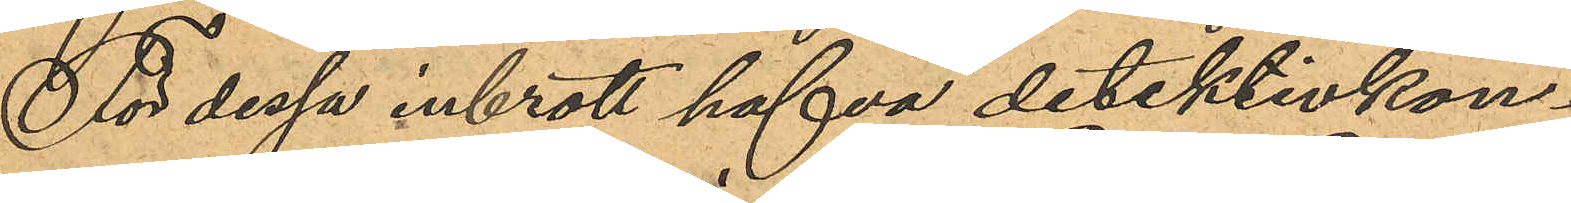För dessa inbrott hafva detektivkon¬
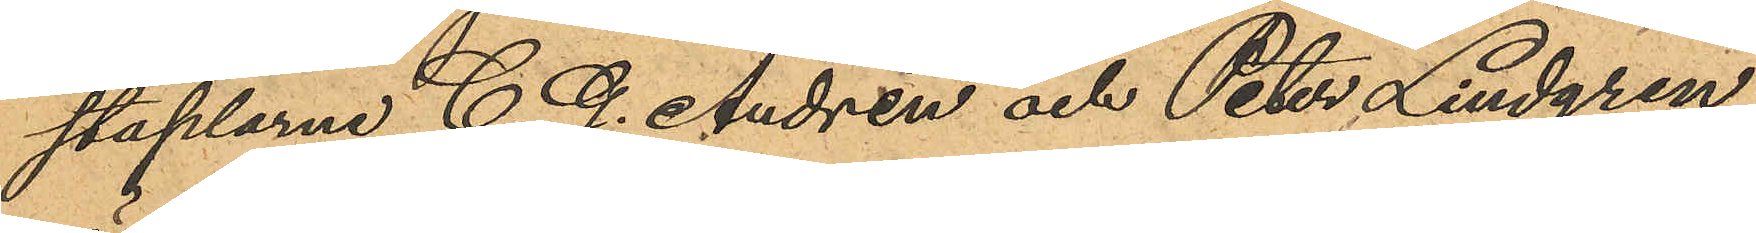staplarne C. G. Andrén och Peter Lindgren
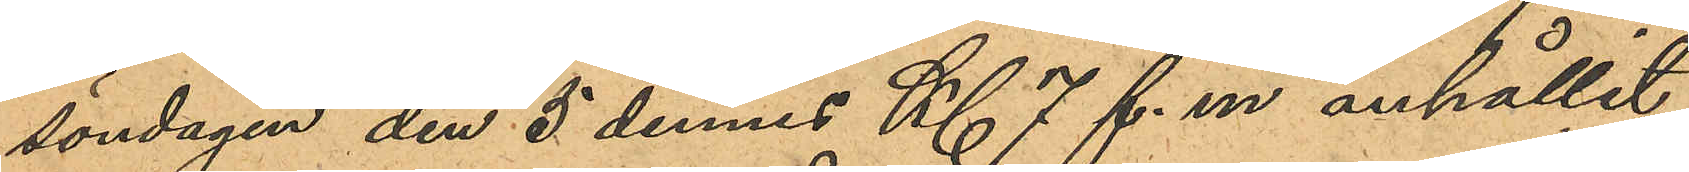söndagen den 5 dennes Kl 7 f.m anhållit
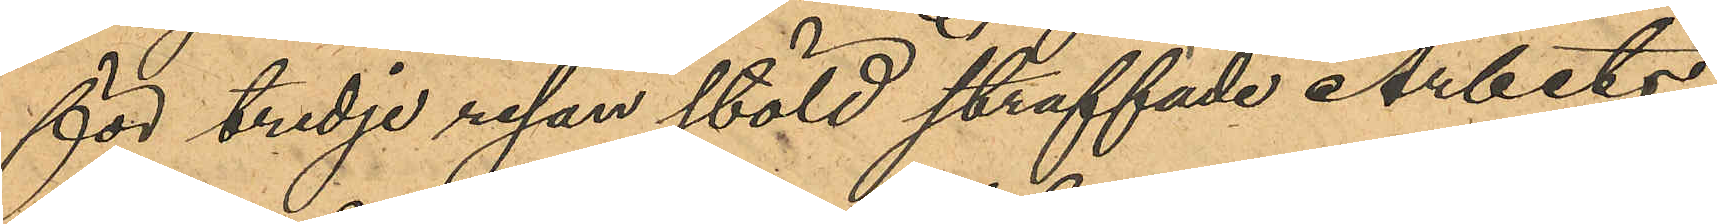för tredje resan stöld straffade Arbets¬
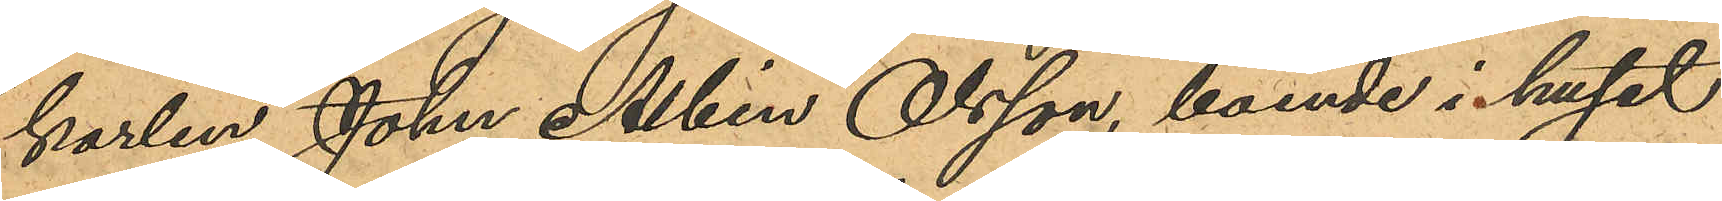karlen John Albin Olsson, boende i huset
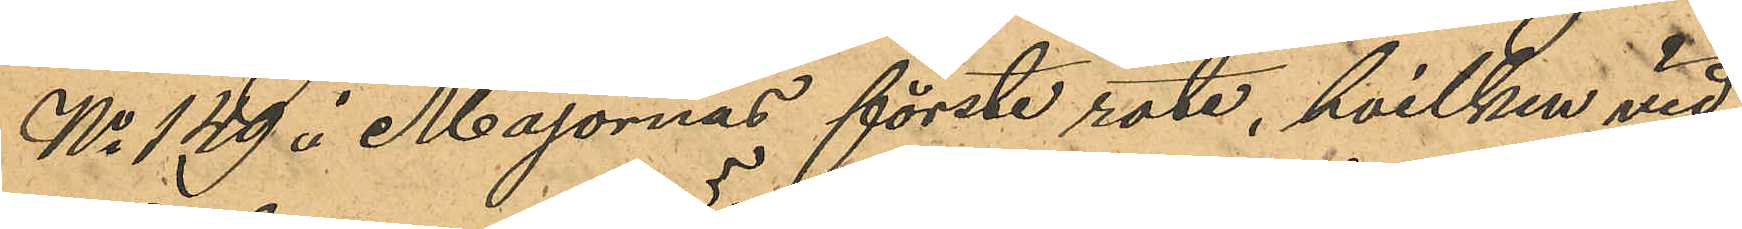No 149 i Majornas förste rote, hvilken vid
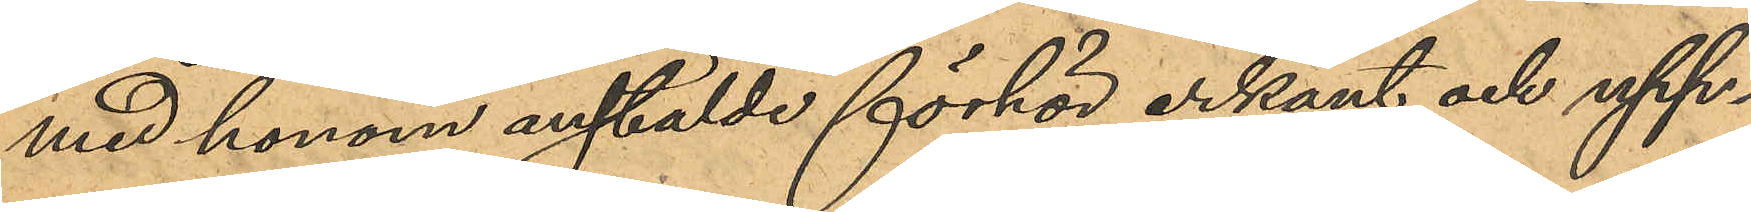med honom anstälde förhör erkänt och upp¬
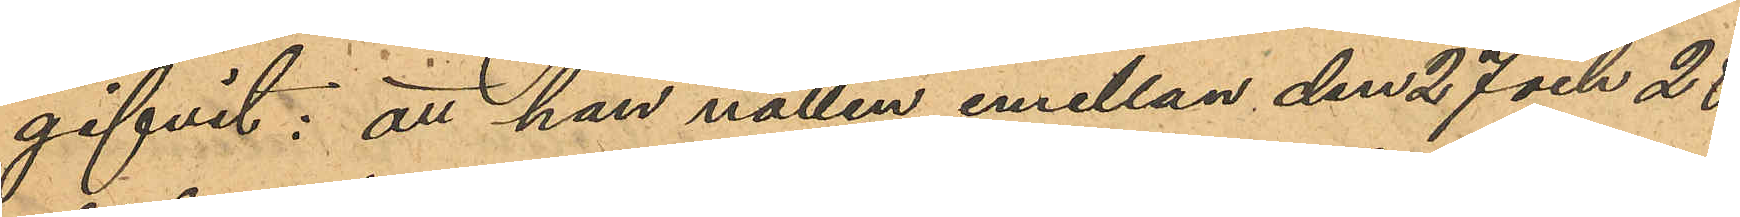gifvit: att han natten emellan den 27 och 28
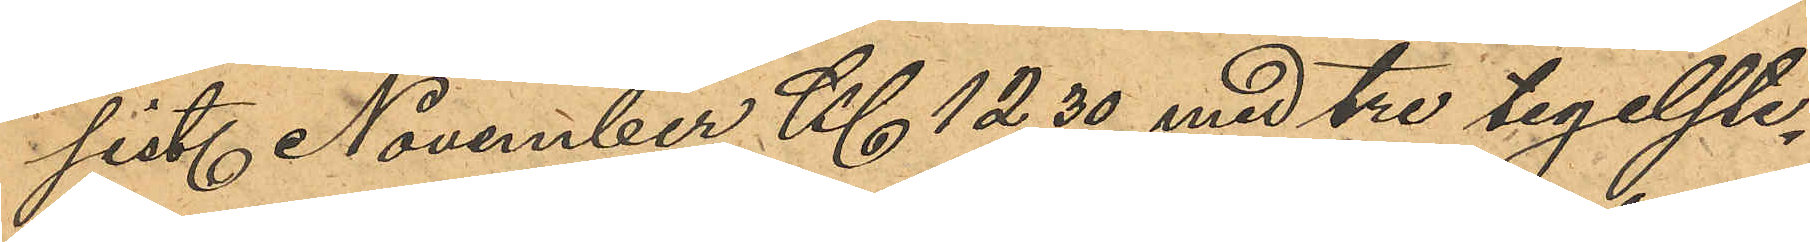sist. November Kl 12,30 med tre tegelste¬
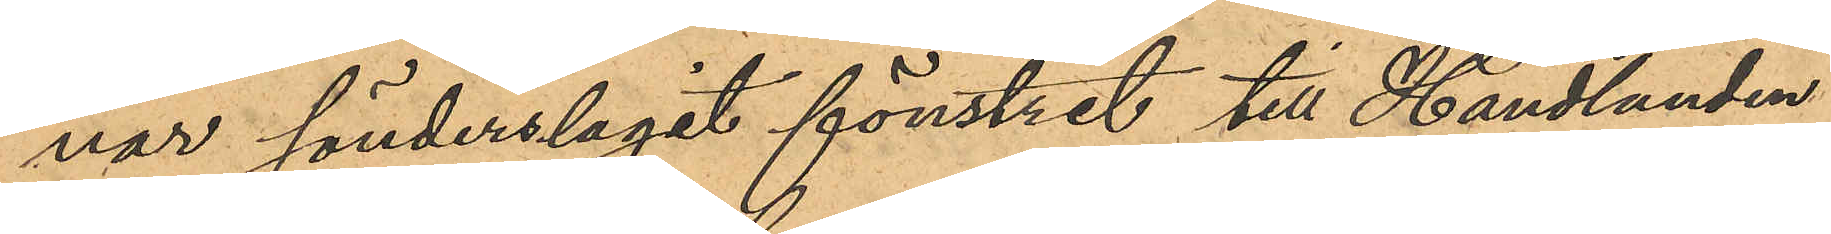nar sönderslagit fönstret till Handlanden
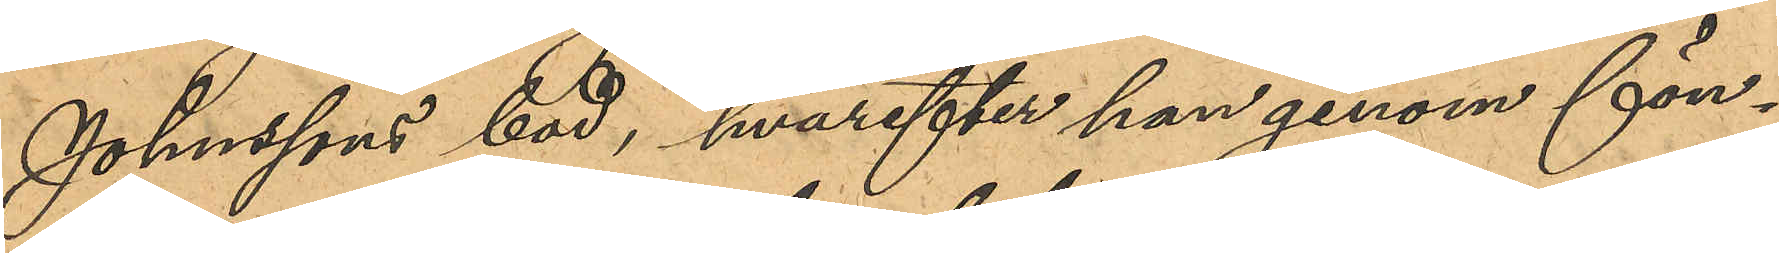Johnssons bod, hvarefter han genom fön¬
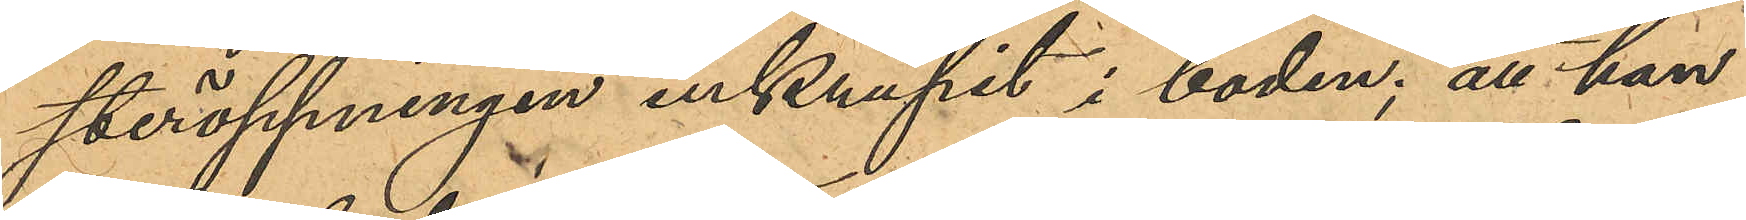steröppningen inkrupit i boden; att han
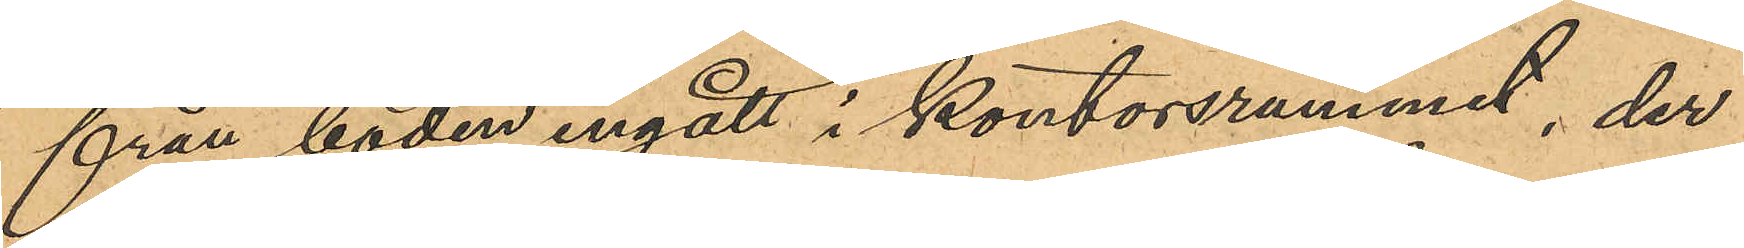från boden ingått i kontorsrummet, der
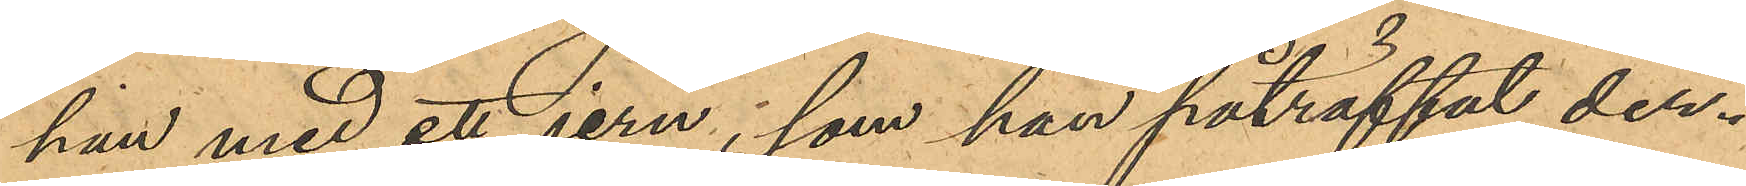han med ett jern, som han påträffat der¬
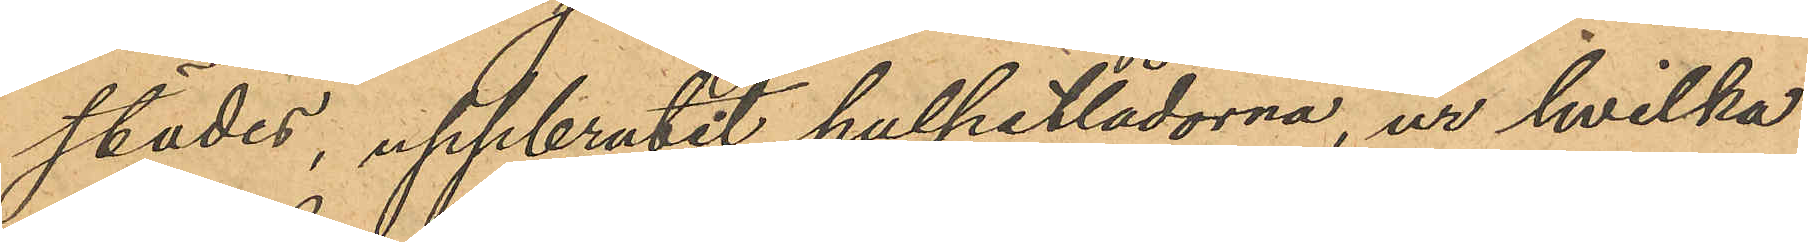städes, uppbrutit pulpetlådorna, ur hvilka
